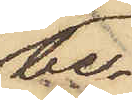be¬
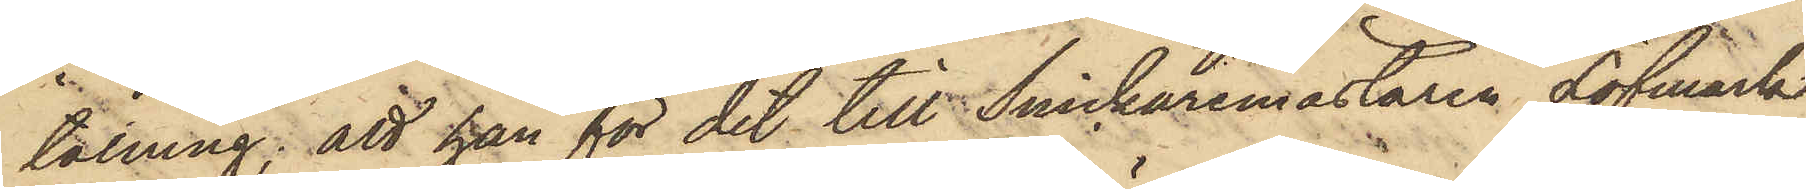talning; att han för det till Snickaremästaren Löfmark
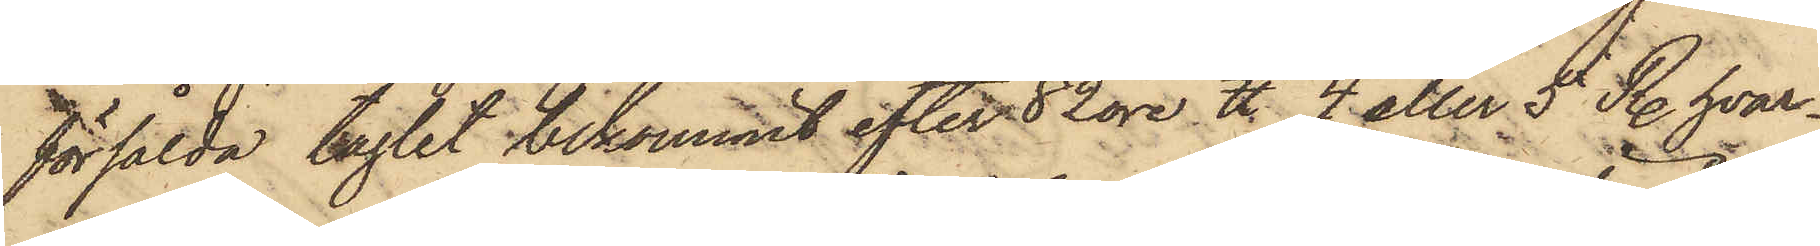försålda taglet bekommit efter 82 öre ℔ 4 eller 5 R. hvar¬
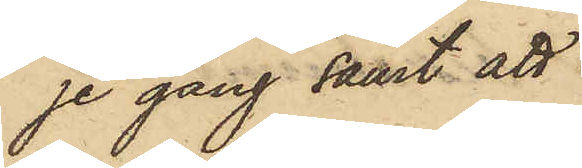je gång samt att
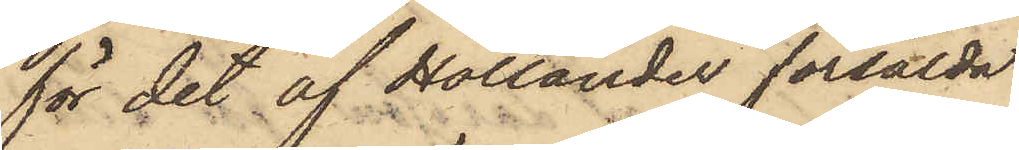för det af Hollander försålda
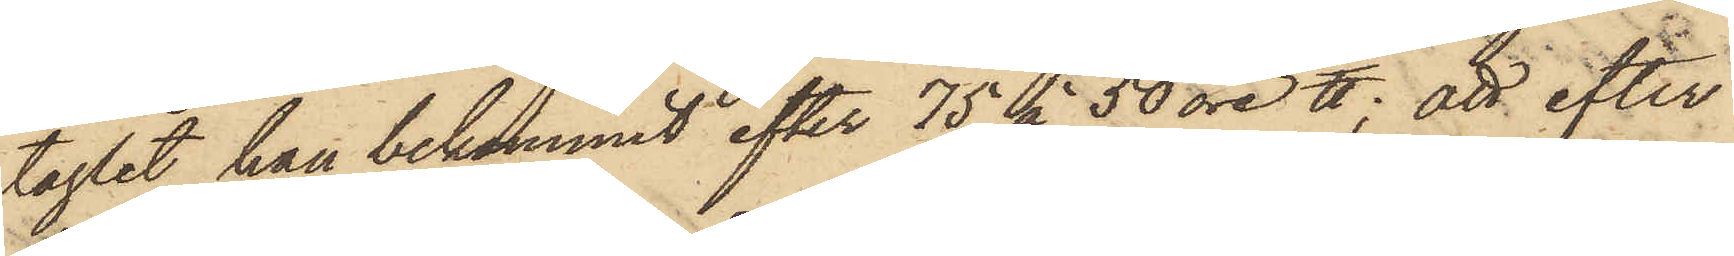taglet han bekommit efter 75 à 50 öre ℔; att efter
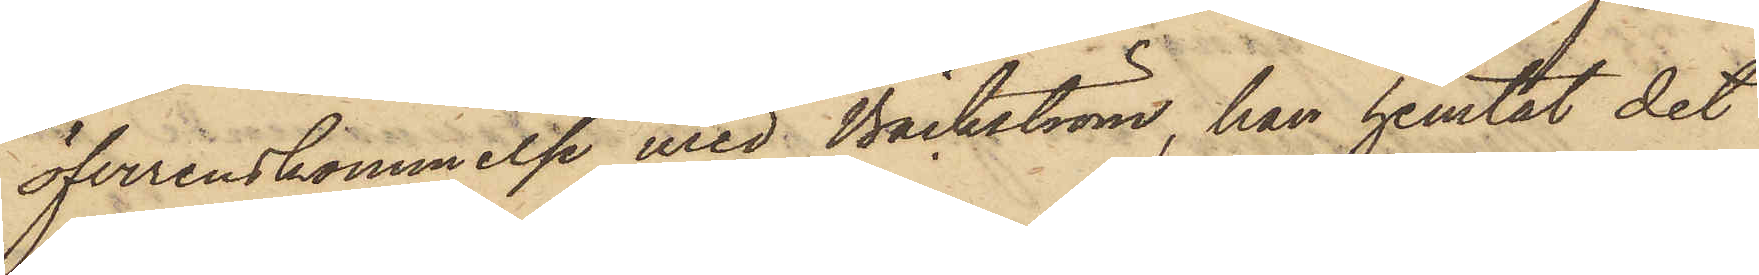öfverenskommelse med Bäckström, han hemtat det
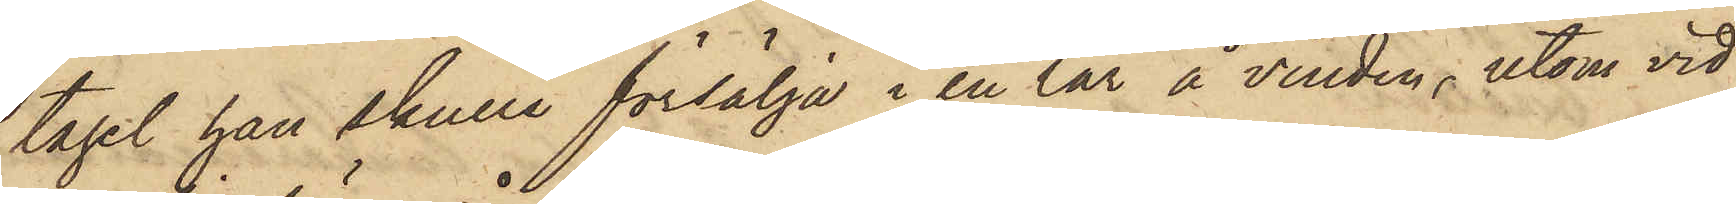tagel han skulle försälja i en lår å vinden, utom vid
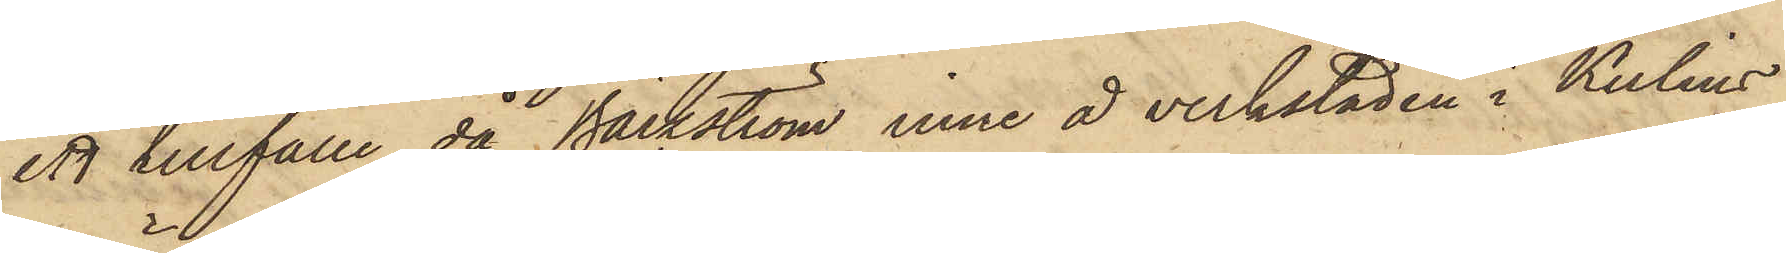ett tillfälle då Bäckström inne å verkstaden i Kulins
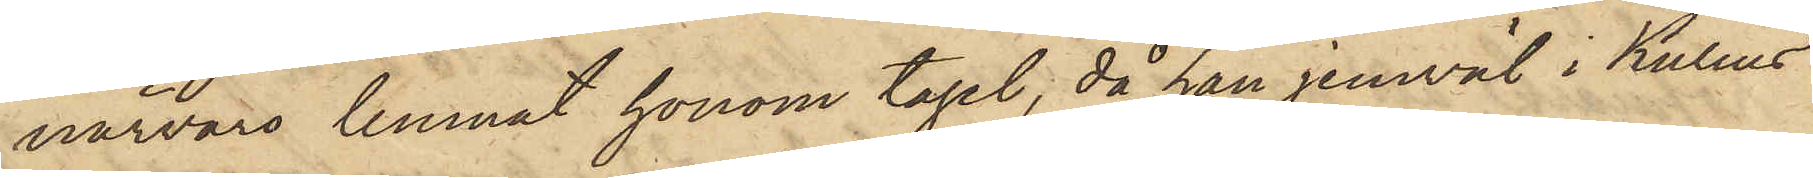närvaro lemnat honom tagel; då han jemväl i Kulins
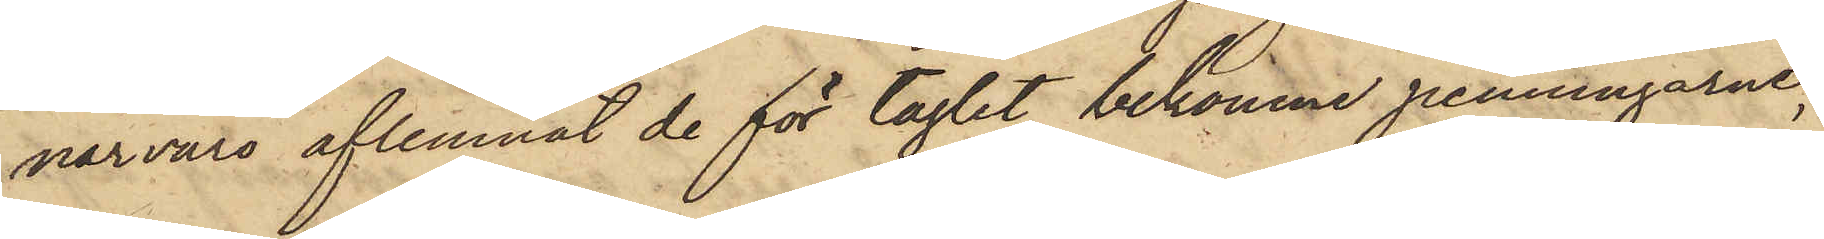närvaro aflemnat de för taglet bekomne penningarne,
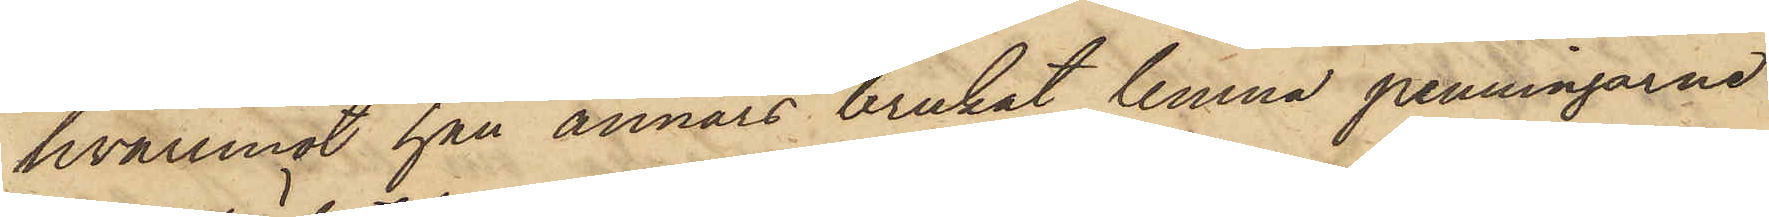hvaremot han annars brukat lemna penningarne
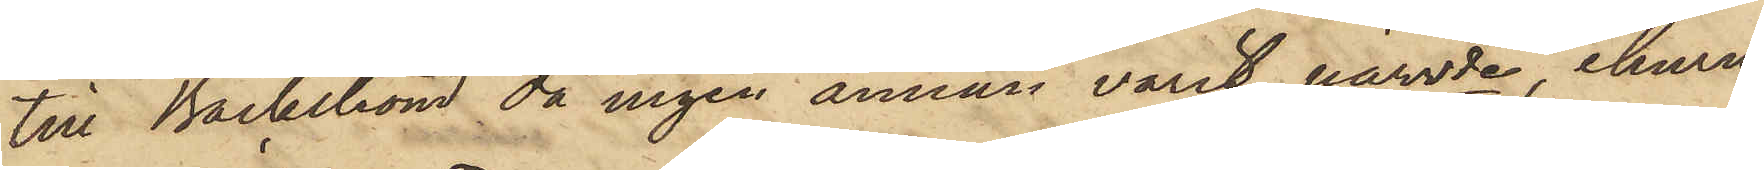till Bäckström då ingen annan varit närvde, ehuru
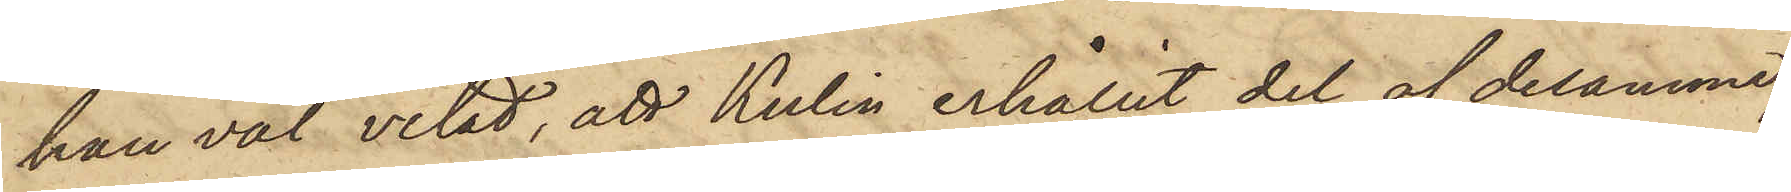han väl vetat, att Kulin erhållit del af desamme;
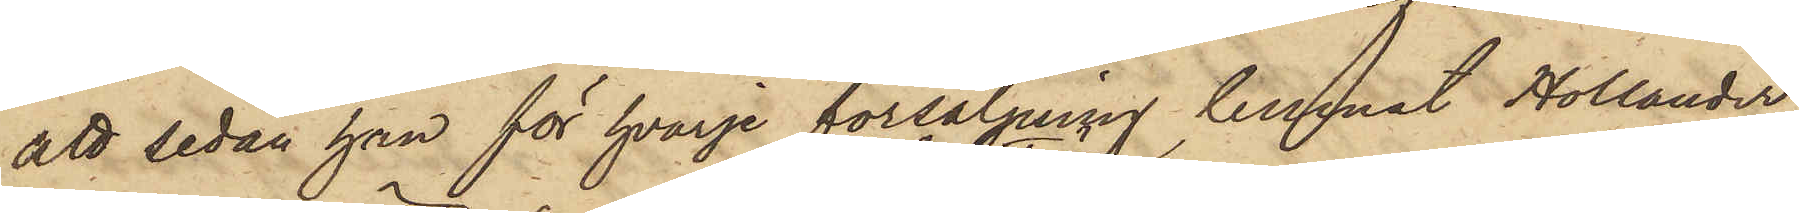att sedan han för hvarje försäljning lemnat Hollander
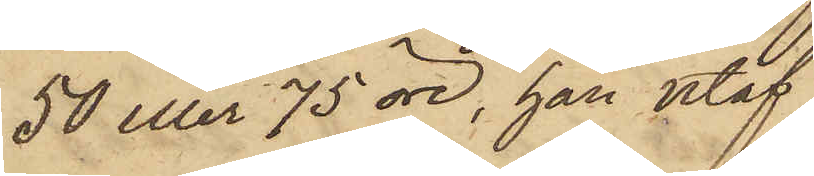50 eller 75 öre, han utaf
